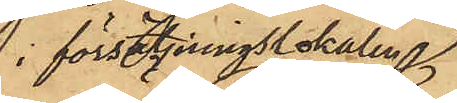 i försäljningslokalen
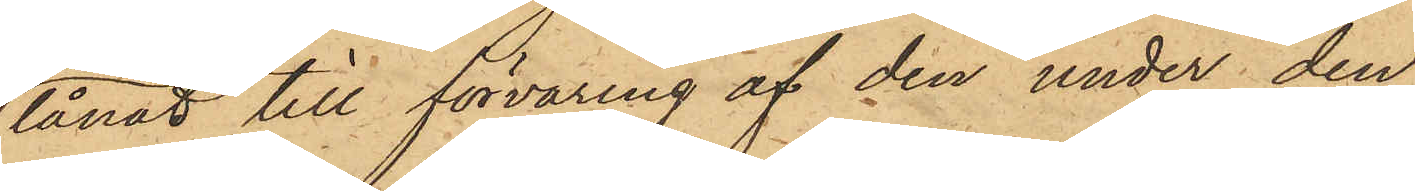lånat till förvaring af den under den
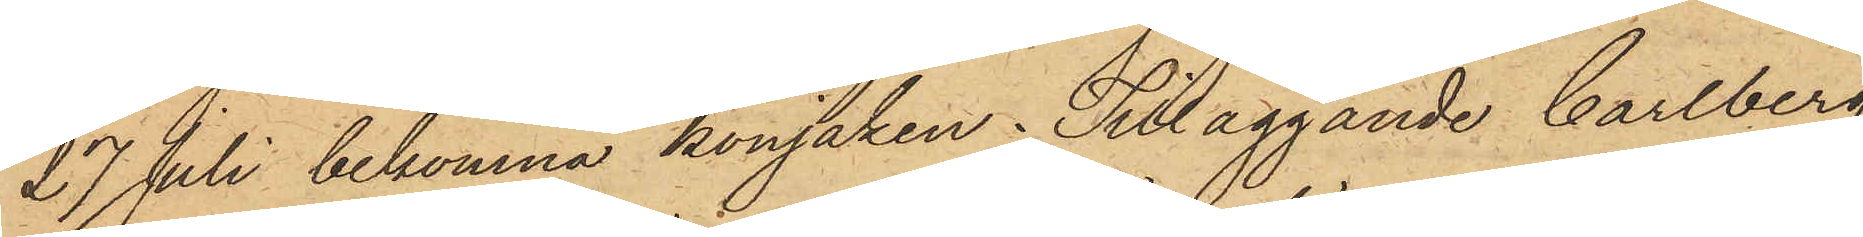27 Juli bekomna konjaken; Tilläggande Carlberg
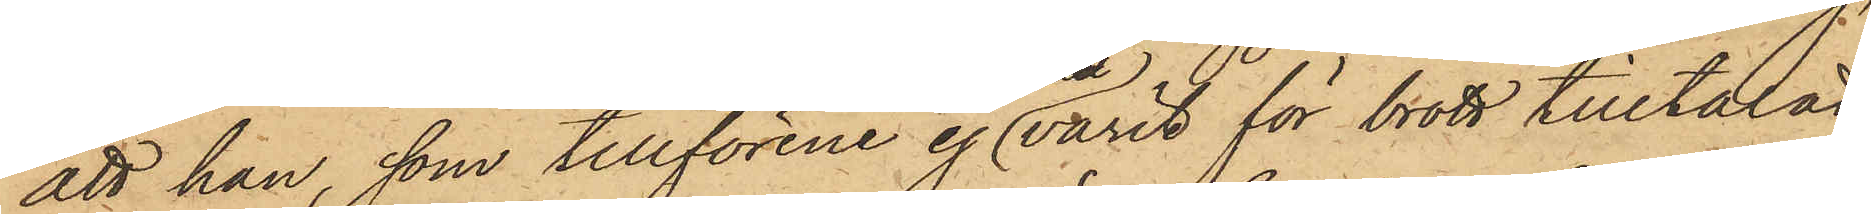att han, som tillförene ej varit för brott tilltalad
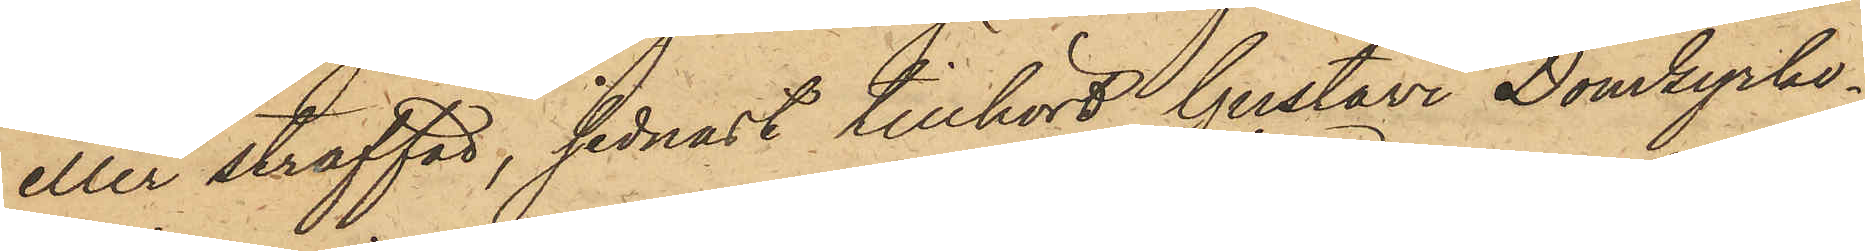eller straffad, sednast tillhört Gustavi Domkyrko¬
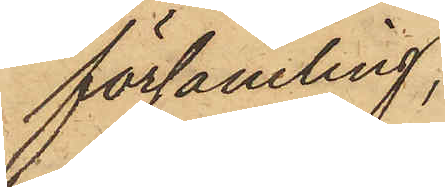församling,
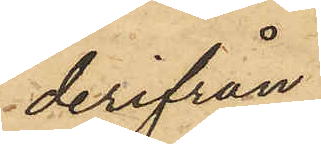derifrån
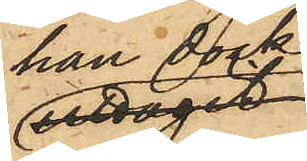han dock
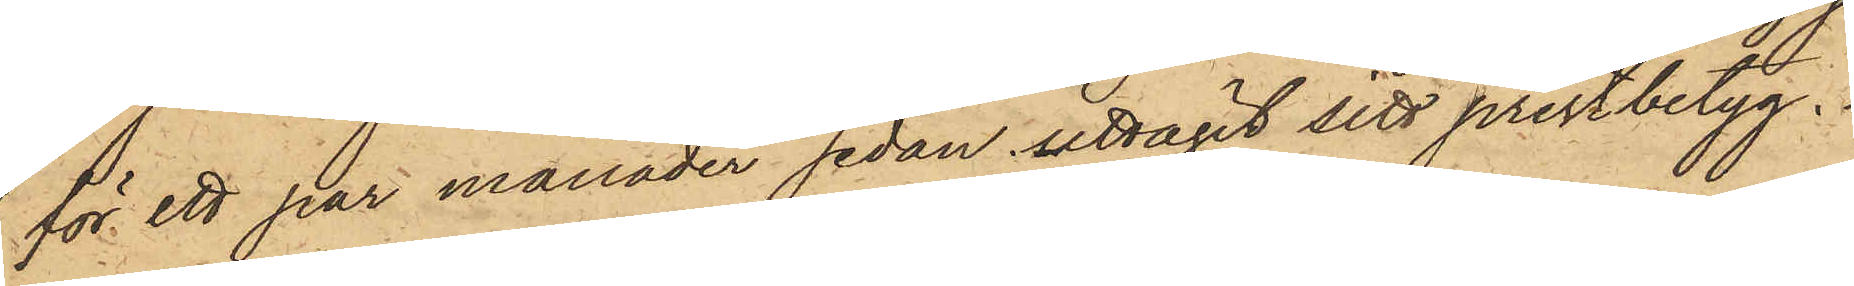för ett par månader sedan uttagit sitt prestbetyg.
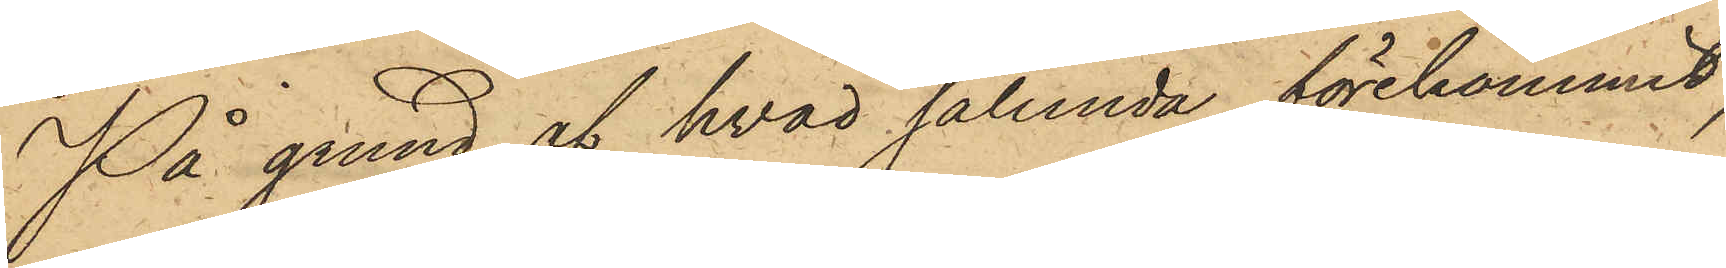På grund af hvad sålunda förekommit,
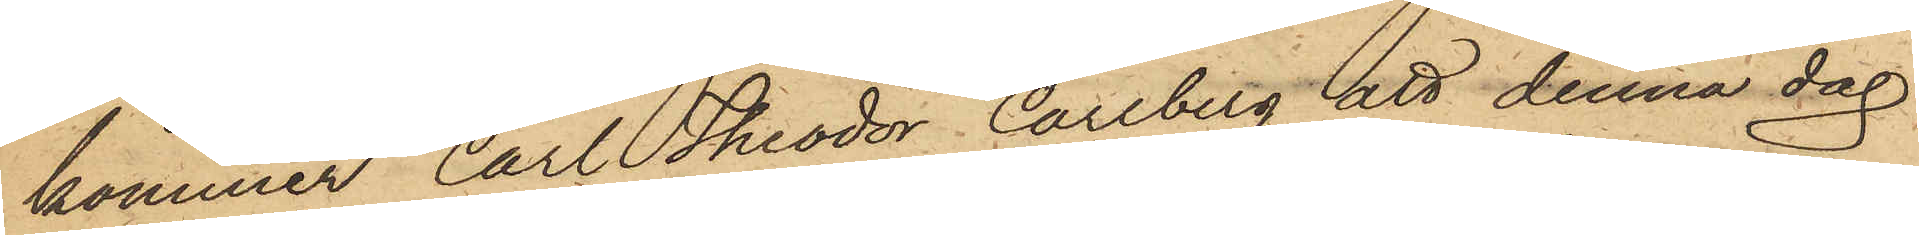kommer Carl Theodor Carlberg att denna dag
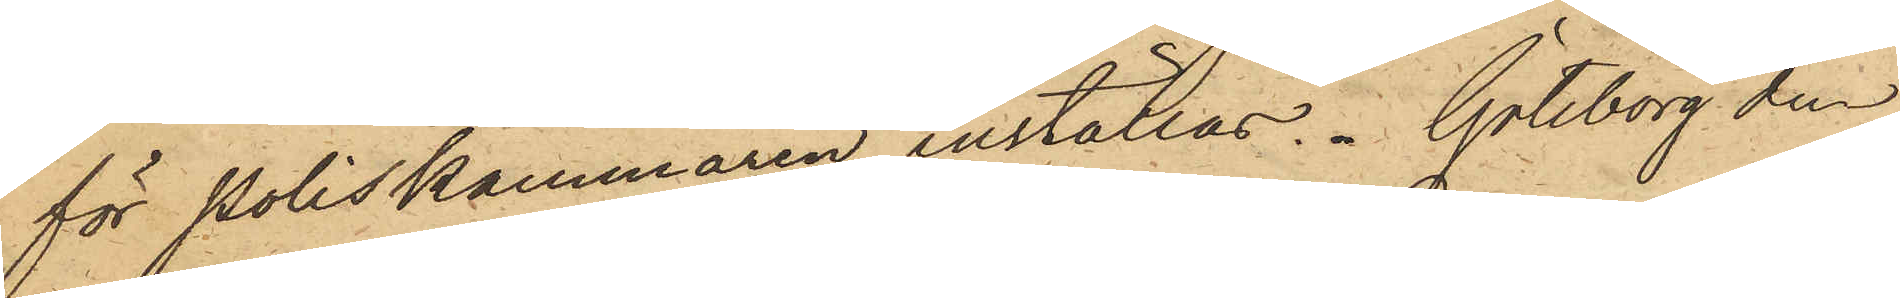för Poliskammaren inställas. Göteborg den
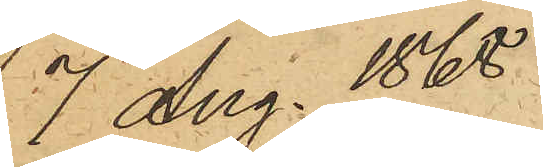7 Aug. 1868
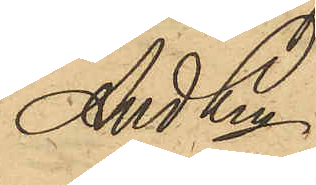And Ln.
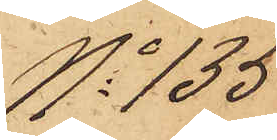No 135
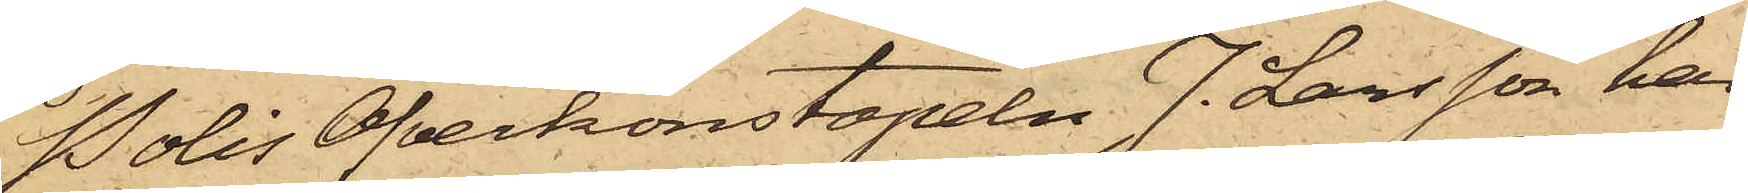PolisÖfverkonstapeln J. Larsson har
